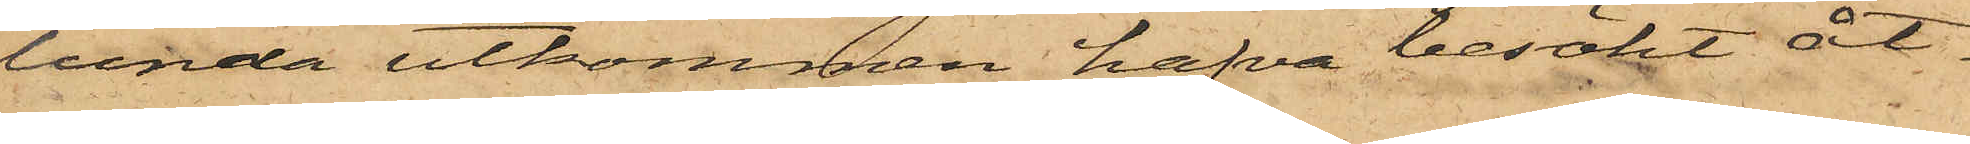lunda utkommen hafva besökt åt¬
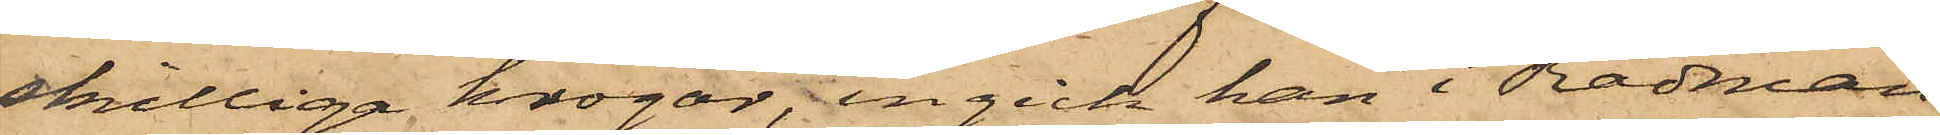skilliga krogar, ingick han i Rådman
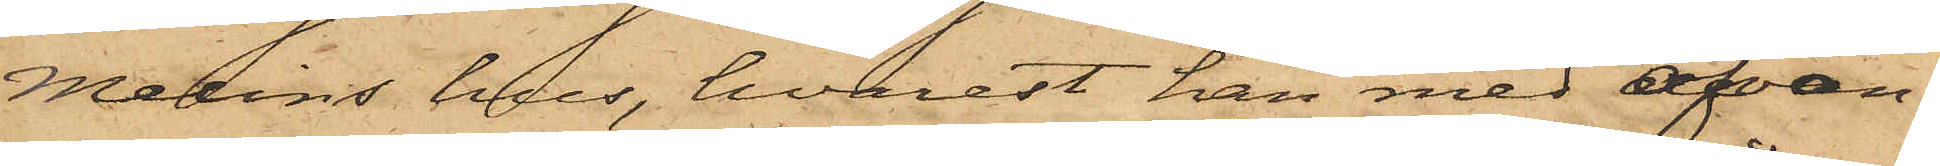Melins hus, hvarest han med ofvan¬
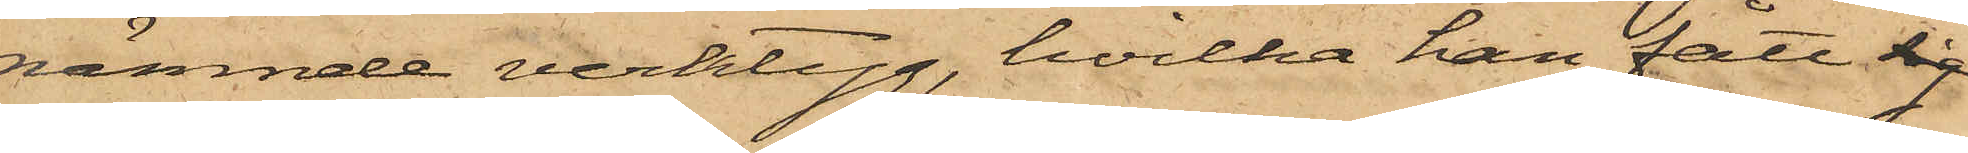nämnde verktyg, hvilka han fått sig
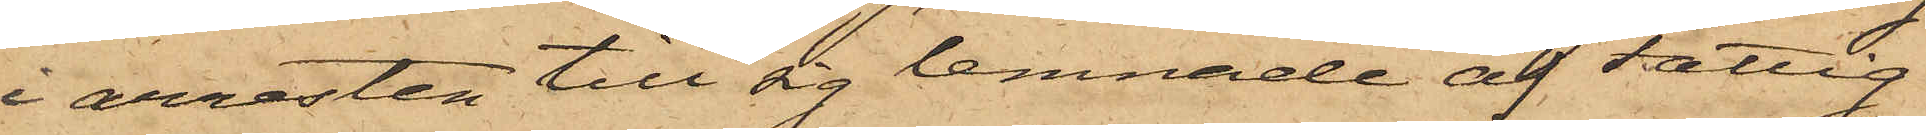i arresten till sig lemnade af Fattig¬
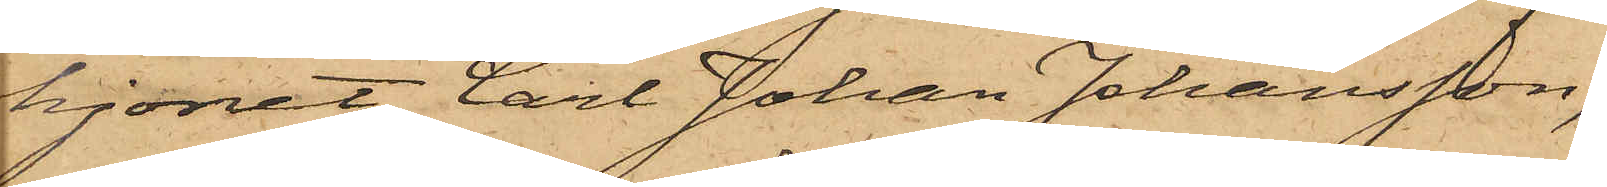hjonet Carl Johan Johansson,
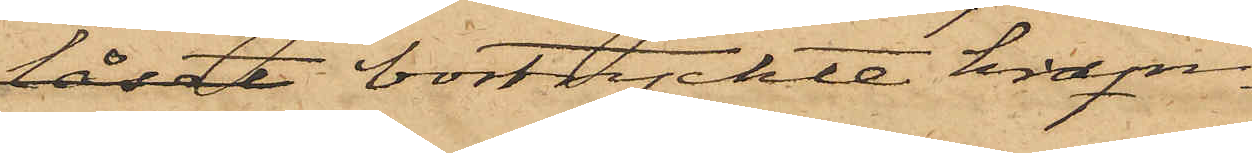låset bortryckte kram¬
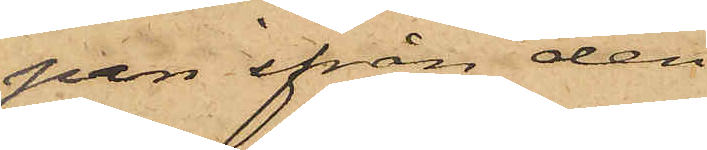pan ifrån den
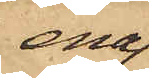ena
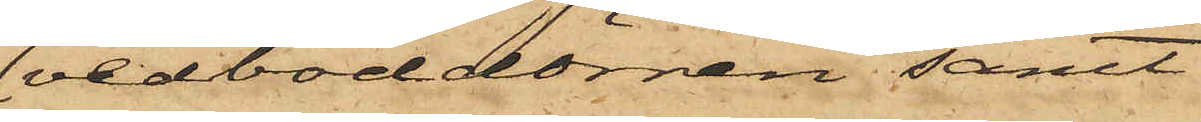vedboddörren samt
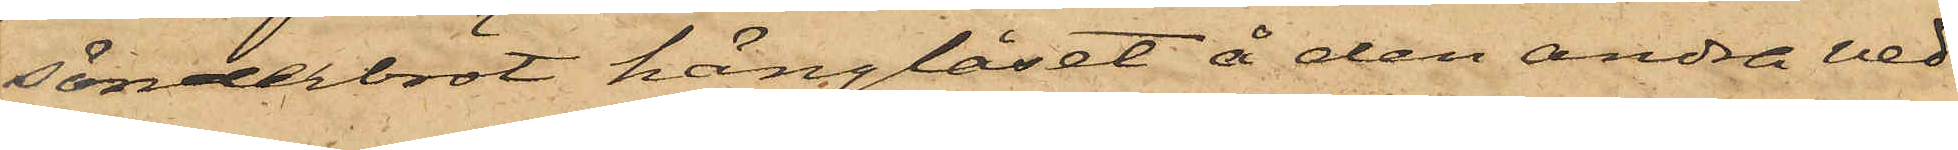sönderbröt hänglåset å den andra ved¬
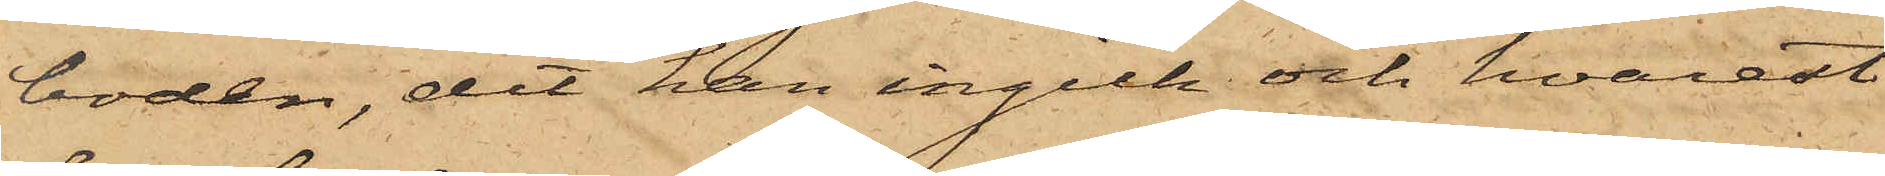boden, dit han ingick och hvarest
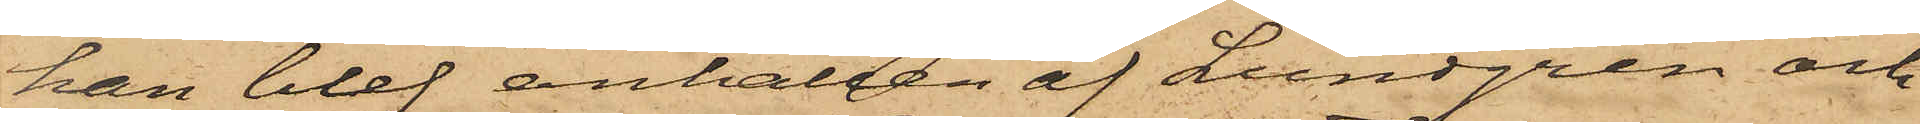han blef anhållen af Lundgren och
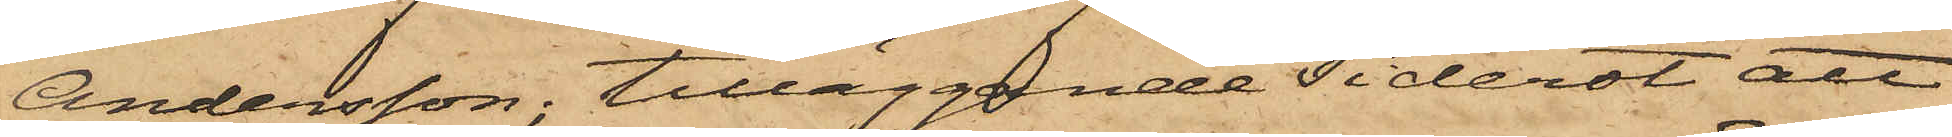Andersson; tilläggande Tiderot att
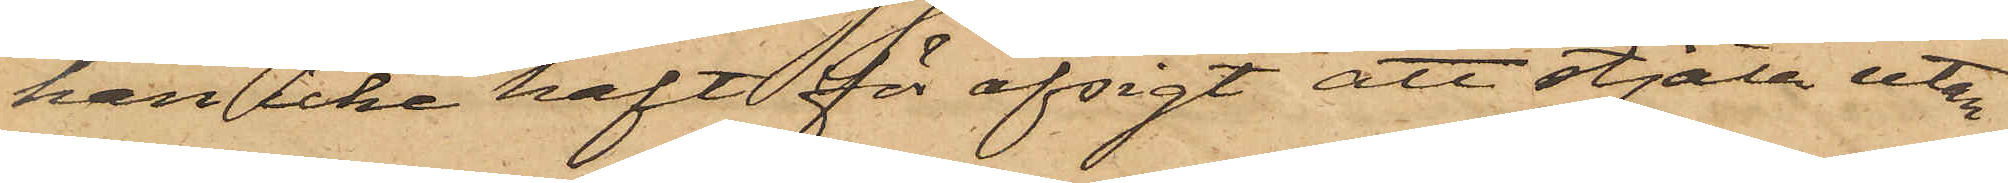han icke haft för afsigt att stjäla utan
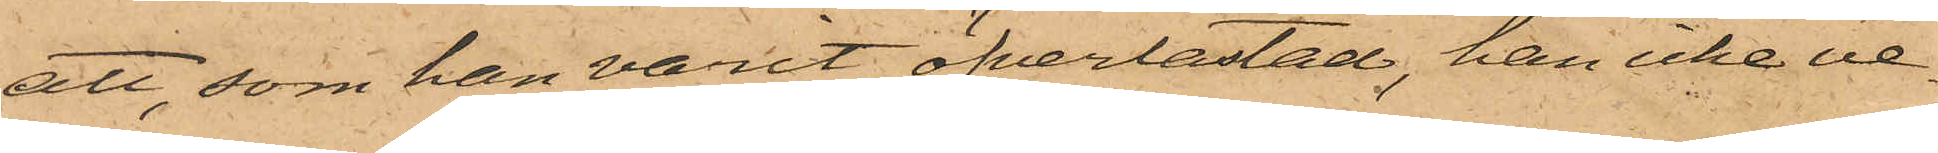att, som han varit öfverlastad, han icke ve¬
